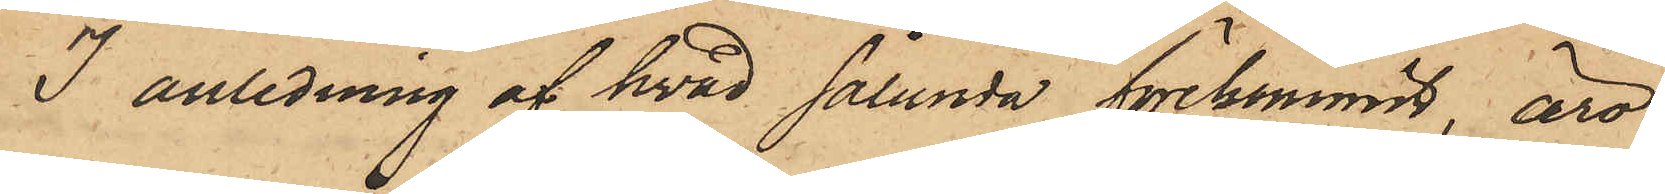I anledning af hvad sålunda förekommit, äro
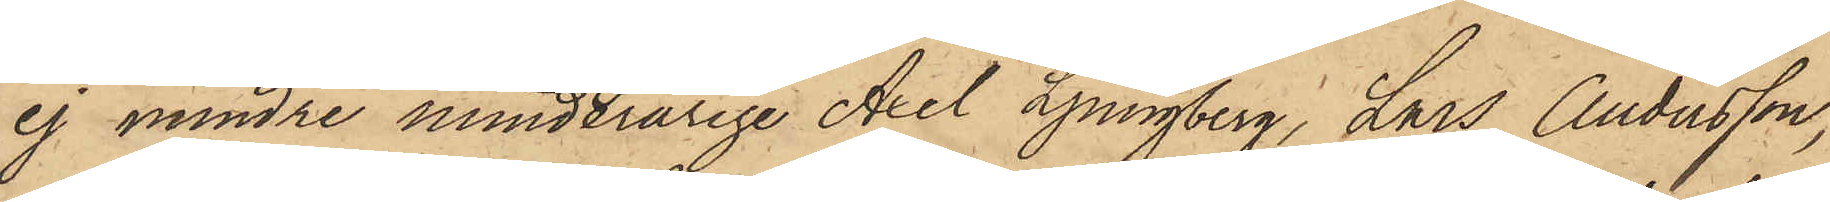ej mindre minderårige Axel Ljungberg, Lars Andersson,
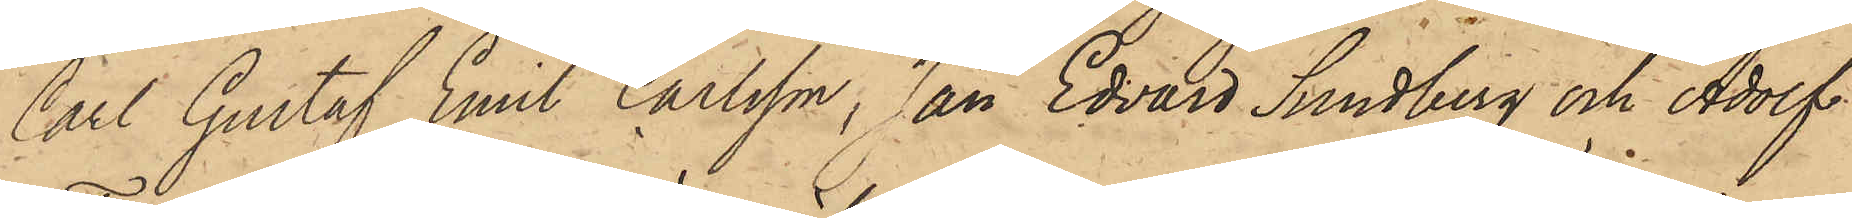Carl Gustaf Emil Carlsson, Jan Edvard Sundberg och Adolf
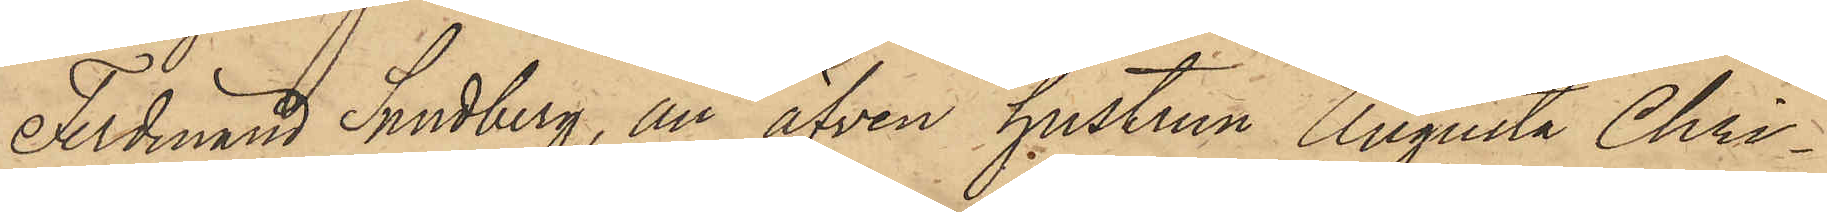Ferdinand Sundberg, än äfven hustrun Augusta Chri¬
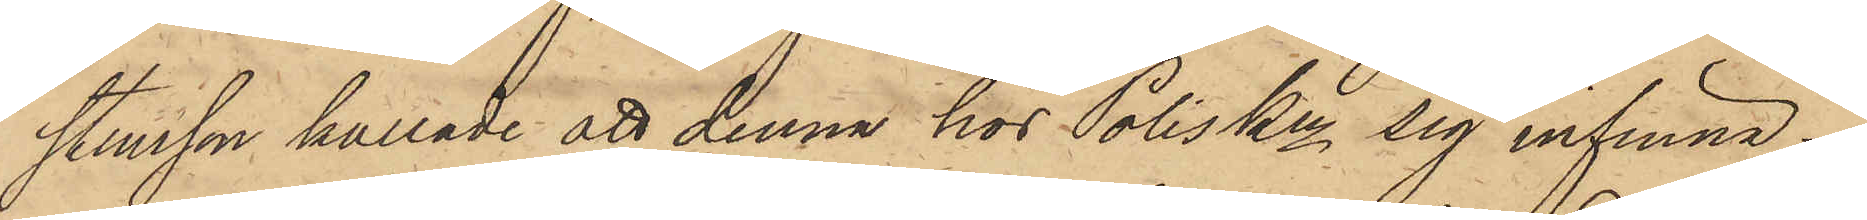stensson kallade att denna hos Poliskn sig infinna.
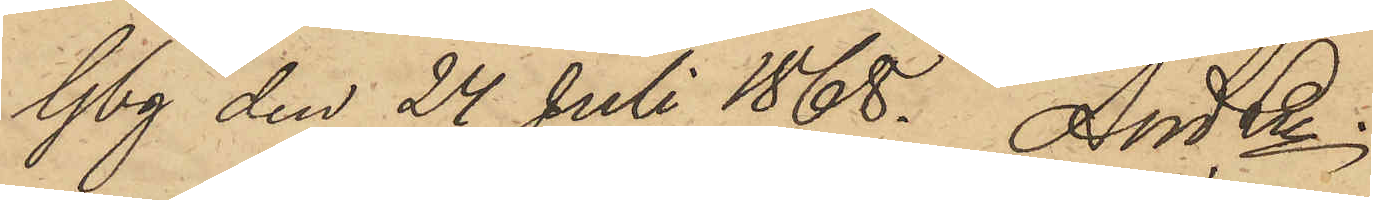Gbg den 24 Juli 1868. And Ln.
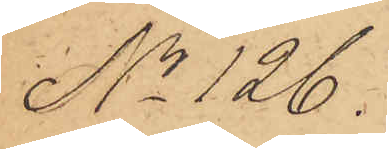No 126.
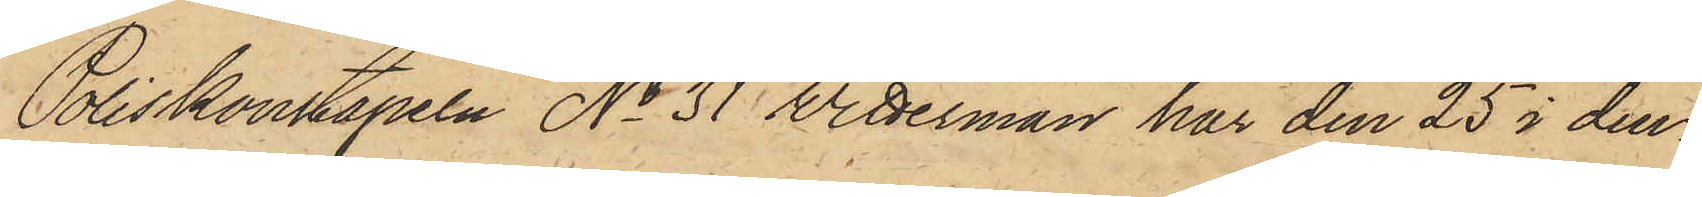Poliskonstapeln No 31 Wetterman har den 25 i den¬
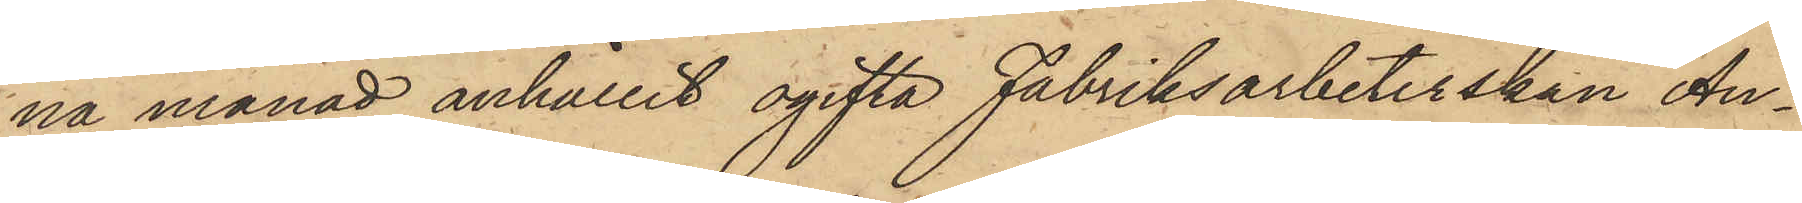na månad anhållit ogifta Fabriksarbeterskan An¬
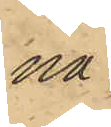na
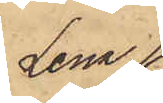Lena
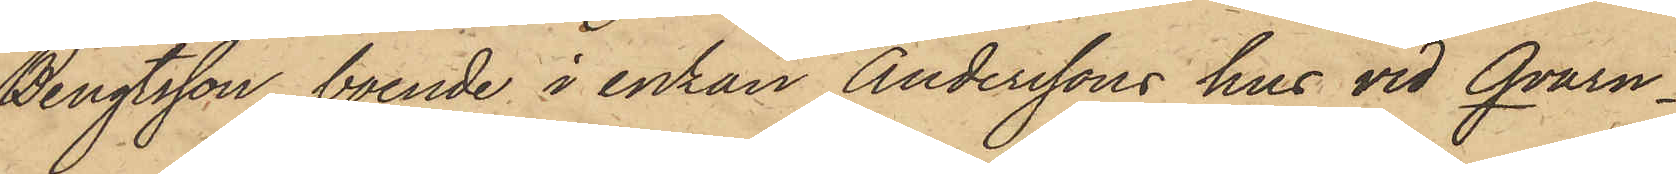Bengtsson, boende i enkan Anderssons hus vid Qvarn¬
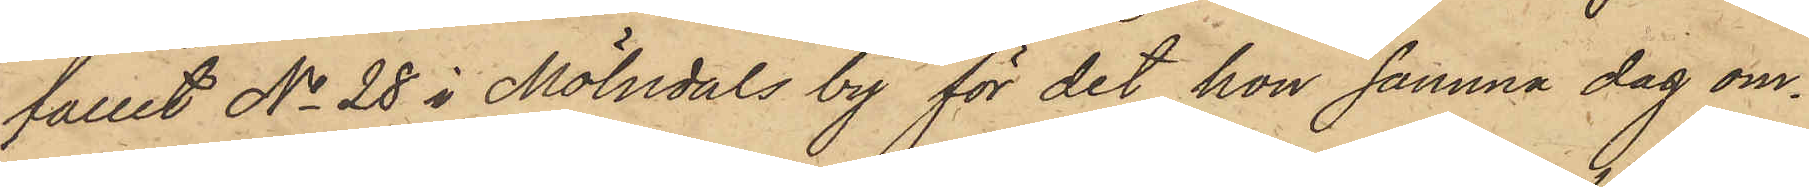fallet No 28 i Mölndals by för det hon samma dag om¬
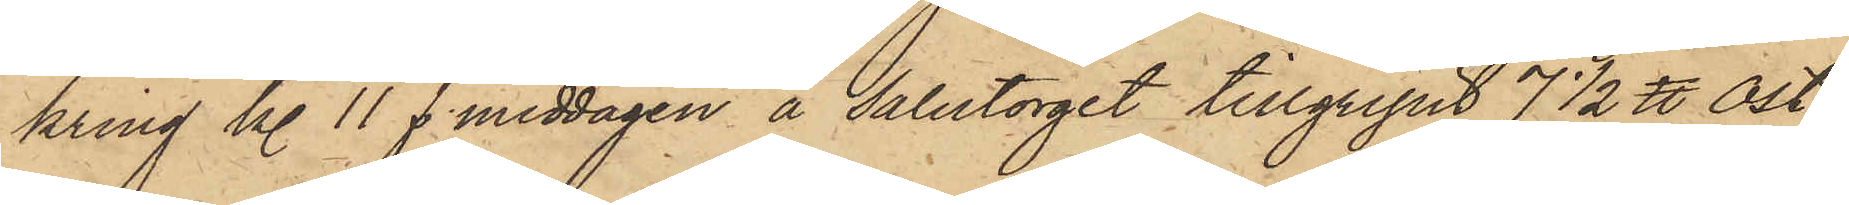kring kl. 11 f. middagen å Salutorget tillgripit 7 1/2 ℔ ost,
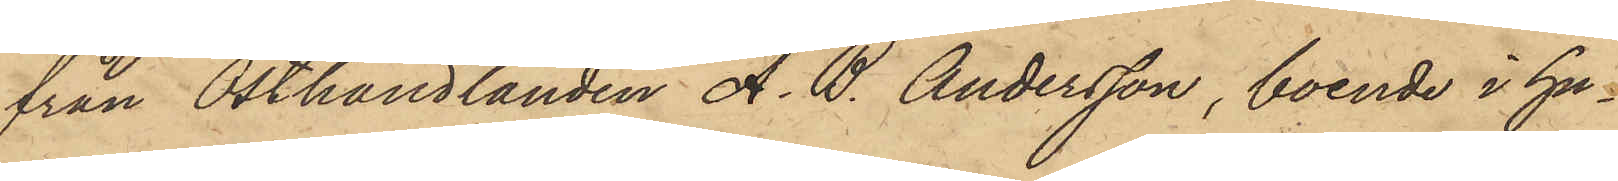från Osthandlanden A. B. Andersson, boende i hu¬
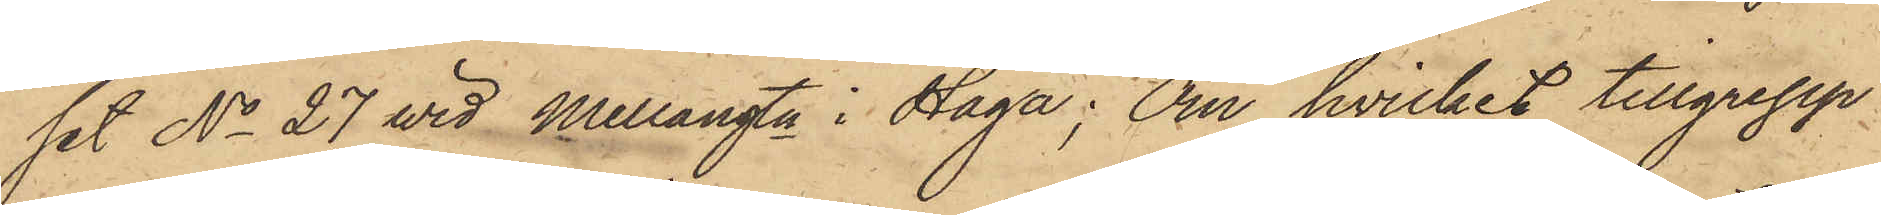set No 27 vid Mellangtn i Haga; Om hvilket tillgrepp.
